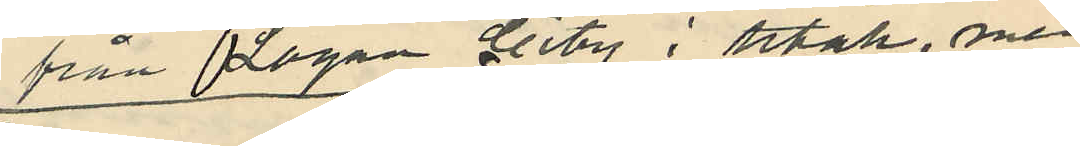från Logan City i Utah, men
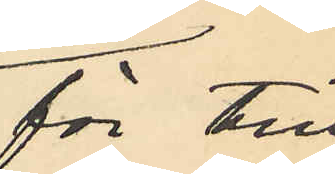för till¬
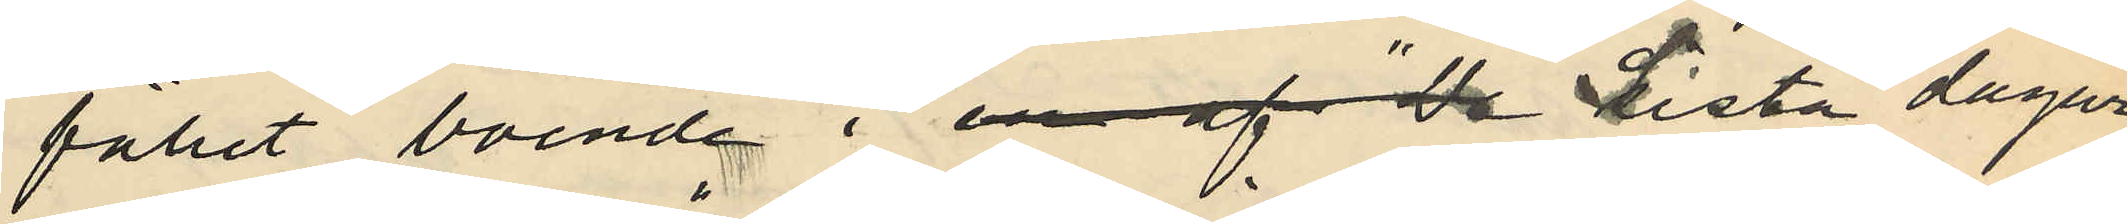fället, boende i en af "de "Sista dagar¬
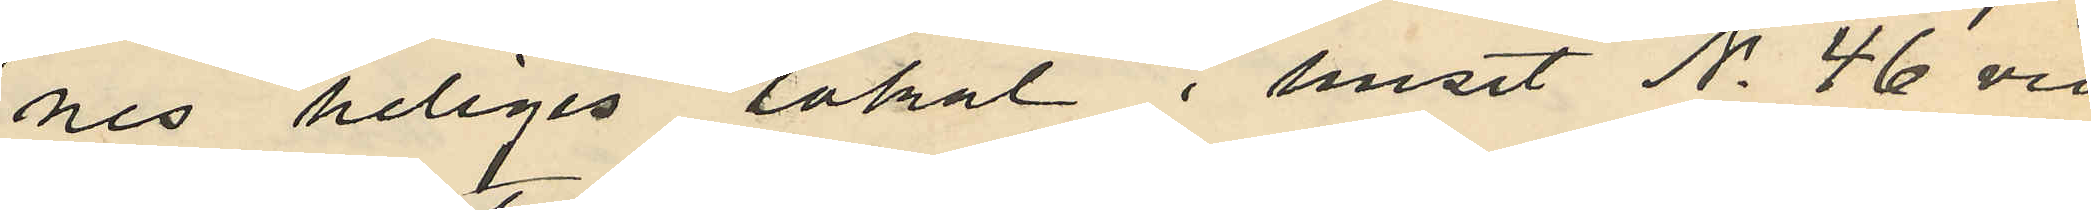nes Heliges" lokal i huset No 46 vid
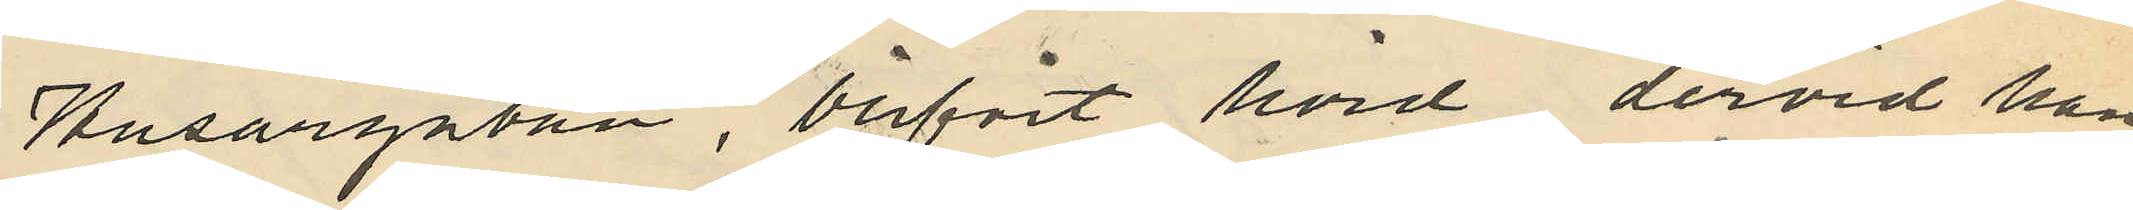Husargatan, blifvit hörd dervid han
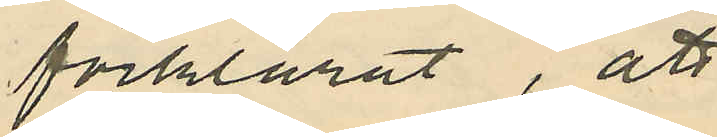förklarat, att
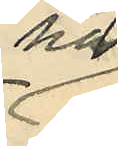han
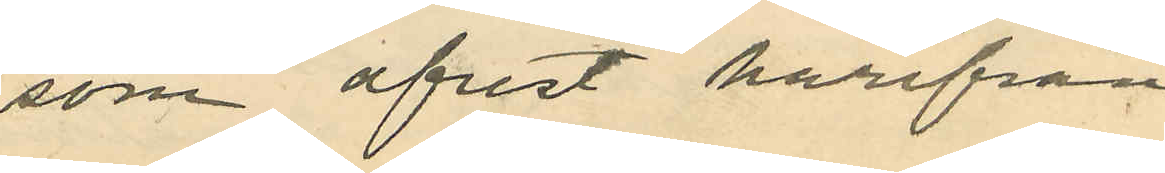som afrest härifrån
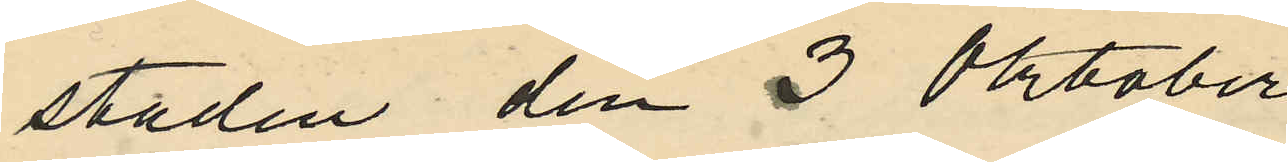staden den 3 Oktober
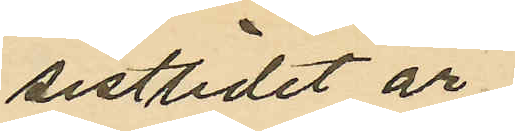sistlidet år
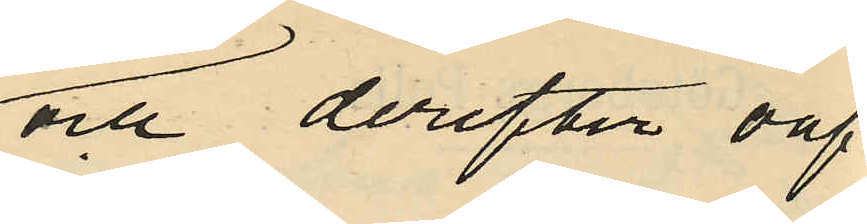och derefter oaf¬
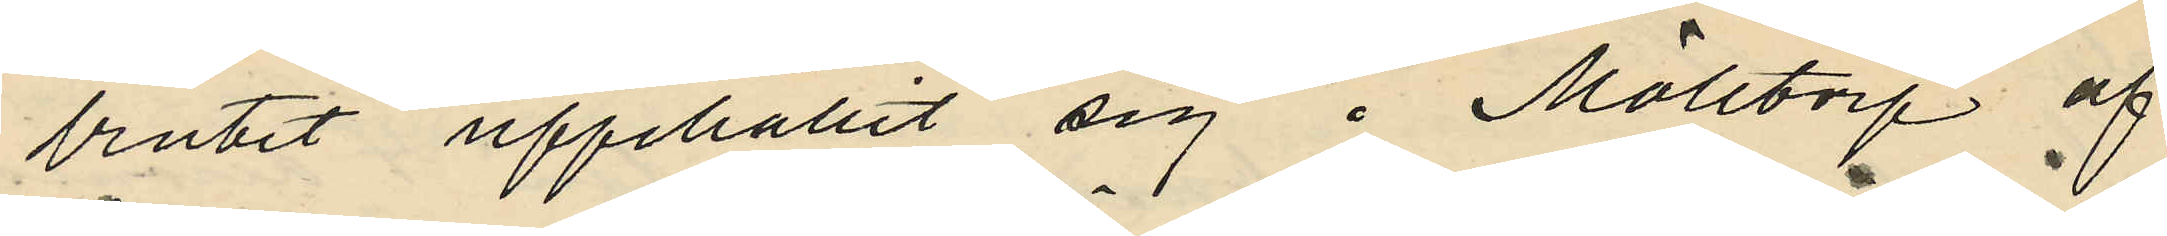brutit uppehållit sig i Mölltorp af
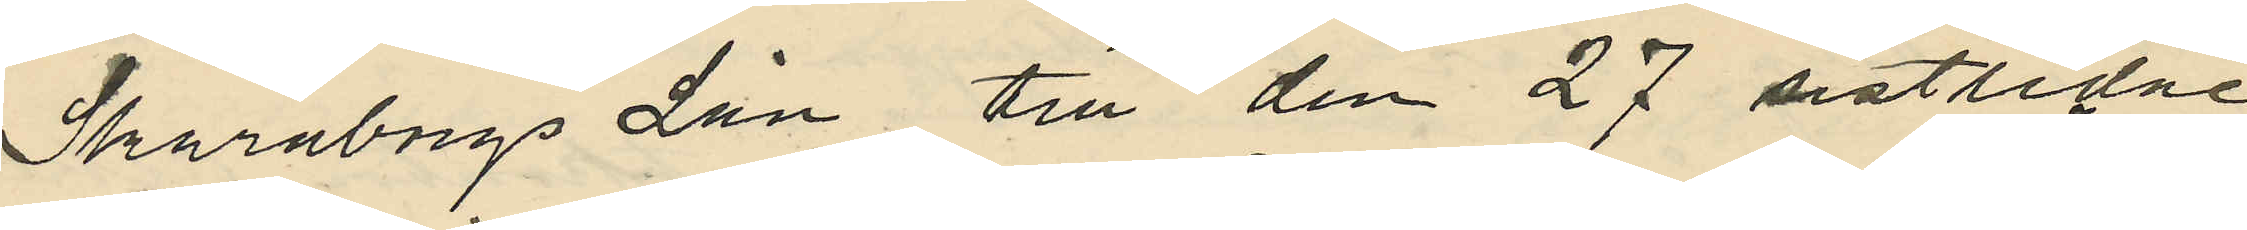Skaraborgs Län till den 27 sistlidne
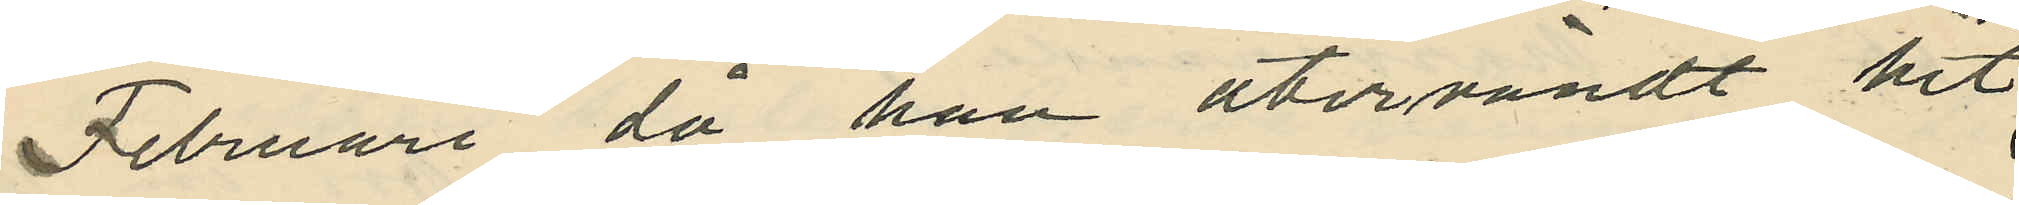Februari då han återvändt hit
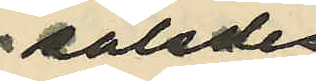således
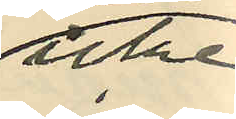icke
